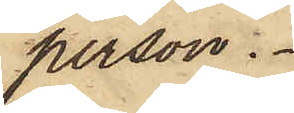person.
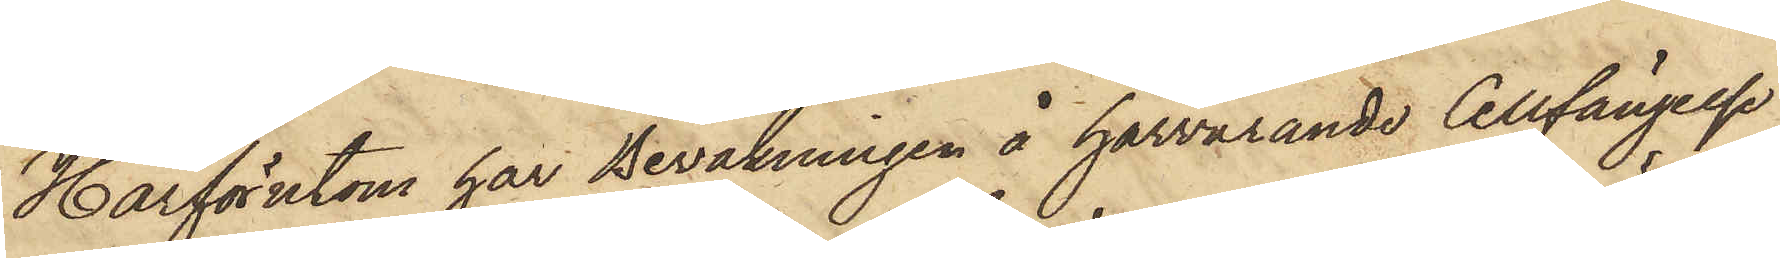Härförutom har Bevakningen å härvarande Cellfängelse
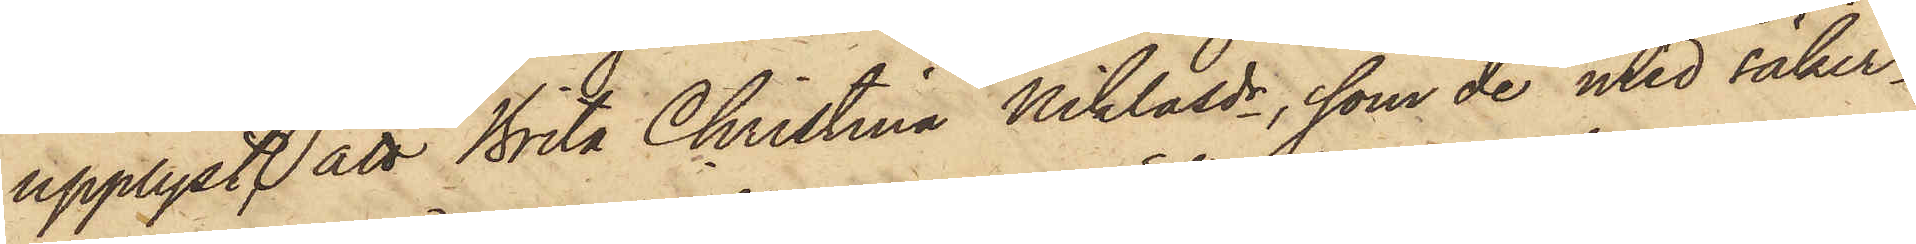upplyst, att Brita Christina Niklasdr, som de med säker¬
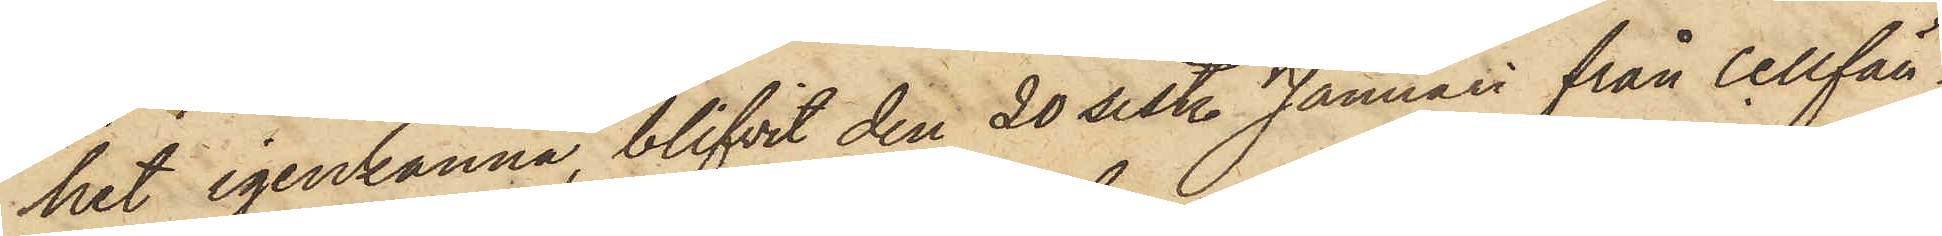het igenkänna, blifvit den 20 sist. Januari från Cellfän¬
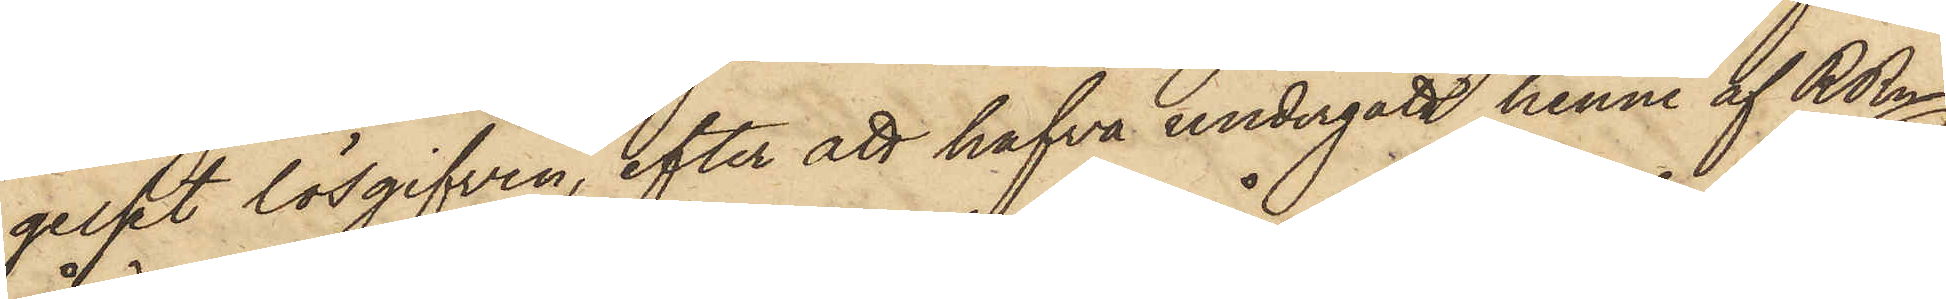gelset lösgifven, efter att hafva undergått henne af RRn
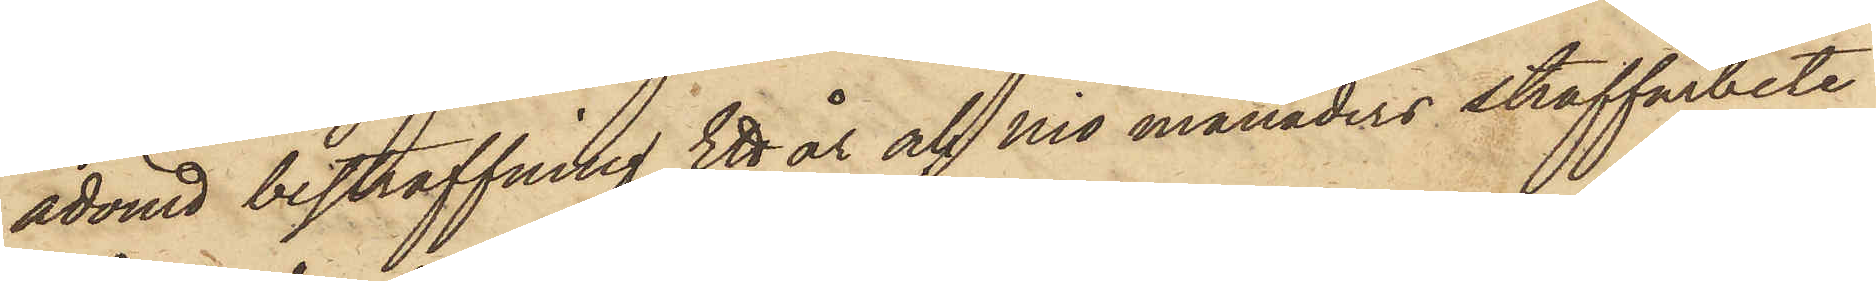ådömd bestraffning Ett år och nio månaders straffarbete
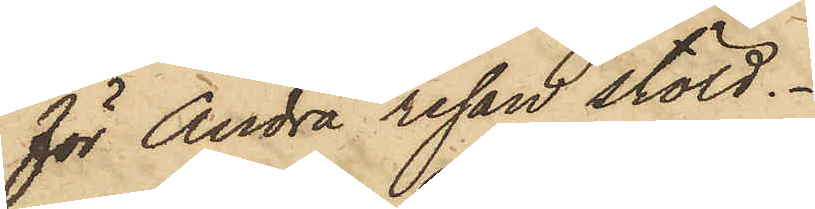för Andra resan stöld.
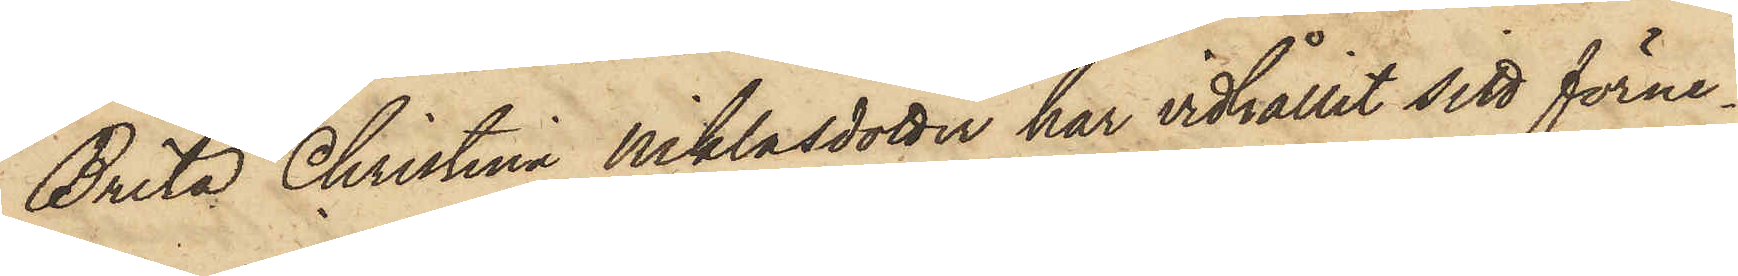Brita Christina Niklasdotter har vidhållit sitt förne¬
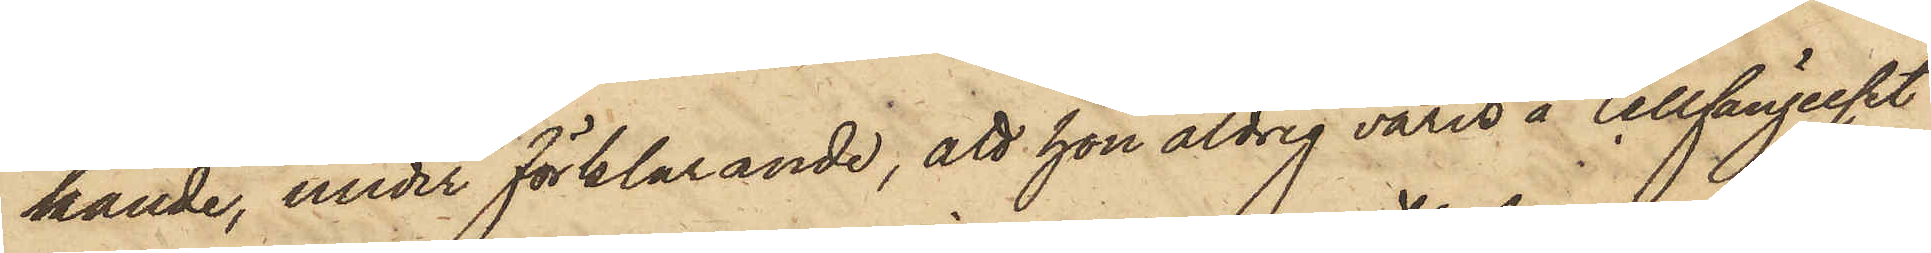kande, under förklarande, att hon aldrig varit å Cellfängelset
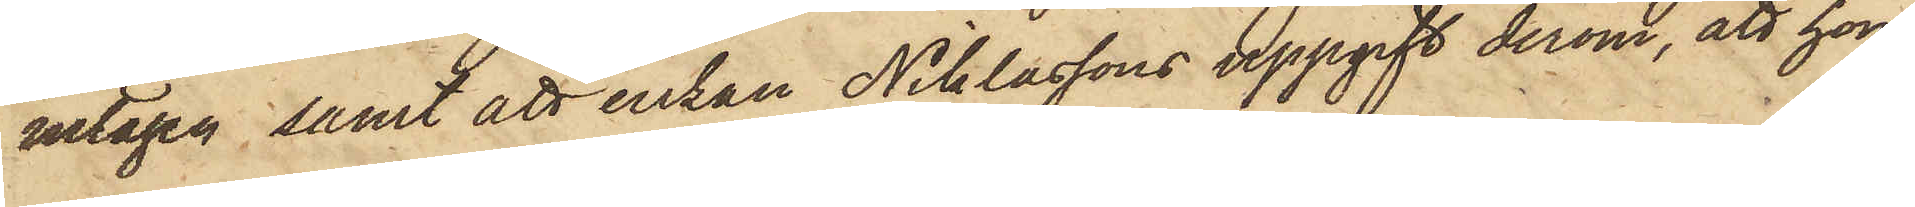intagen samt att enkan Niklassons uppgift derom, att hon
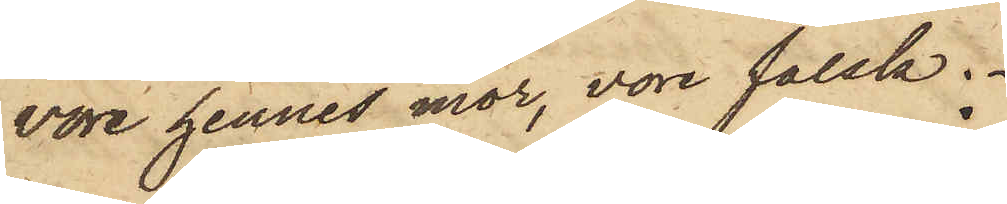vore hennes mor, vore falsk.
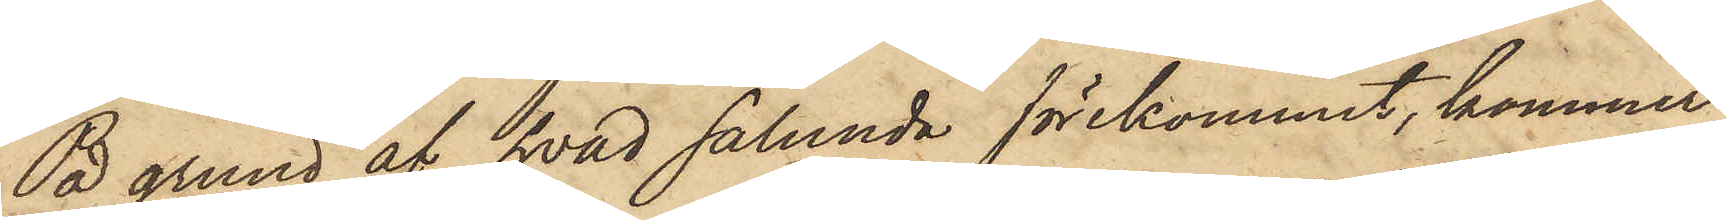På grund af hvad sålunda förekommit, kommer
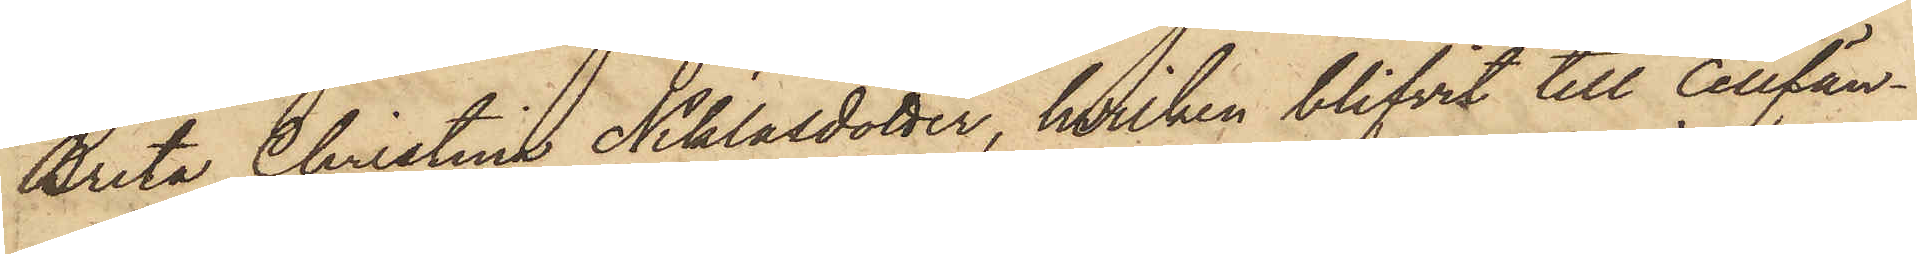Brita Christina Niklasdotter, hvilken blifvit till Cellfän¬
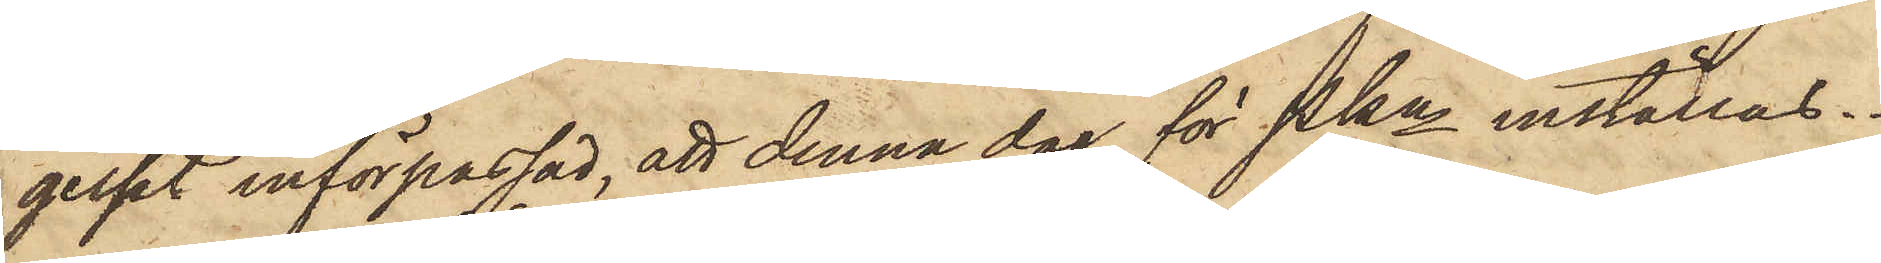gelset införpassad, att denna dag för Pkn inställas.
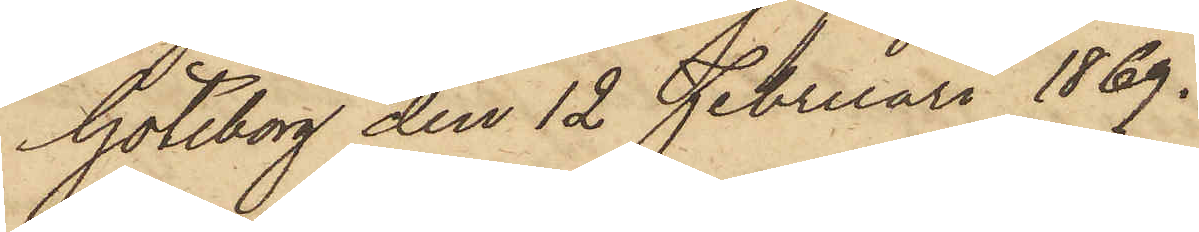Göteborg den 12 Februari 1869.
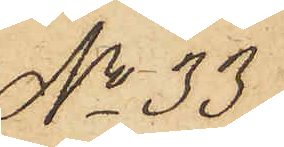No 33
